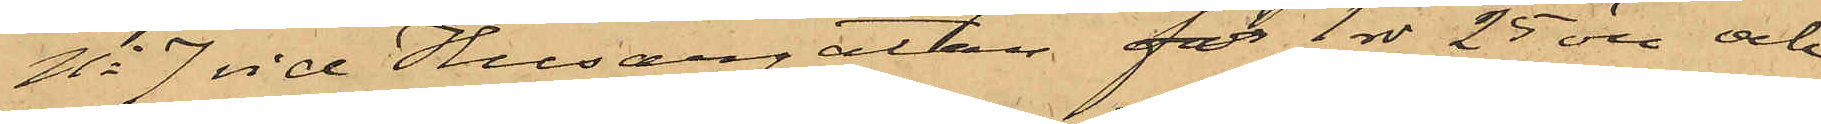No 7 vid Husargatan för 1 rdr 25 öre och
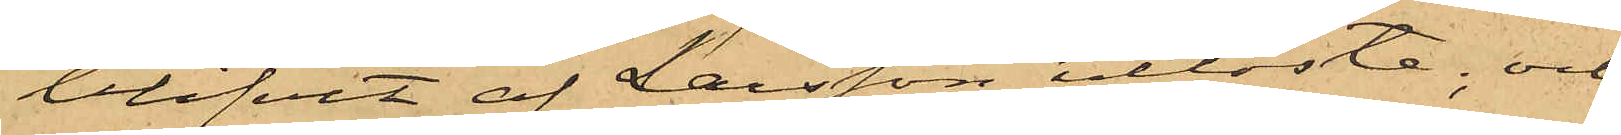blifvit af Larsson utlöste; och
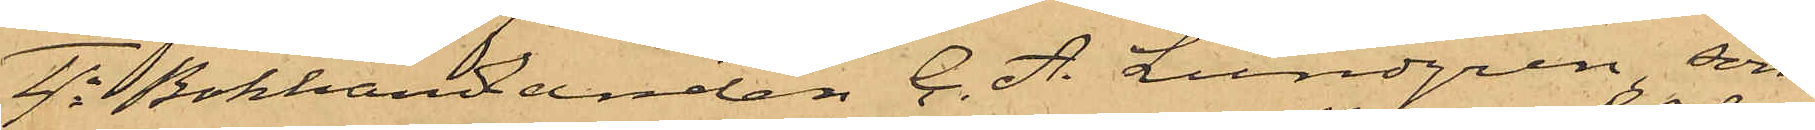4o Bokhandlanden C. A. Lundgren, som
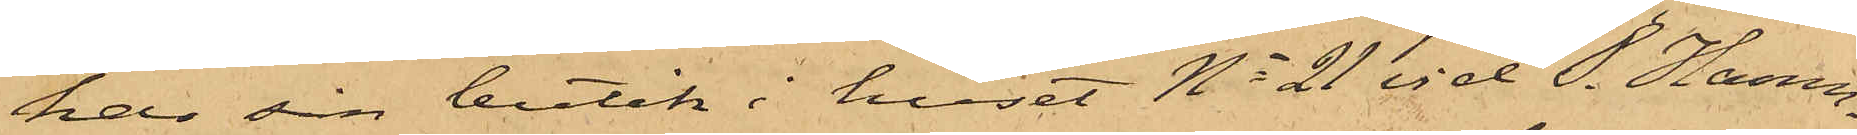har sin butik i huset No 21 vid S. Hamn¬
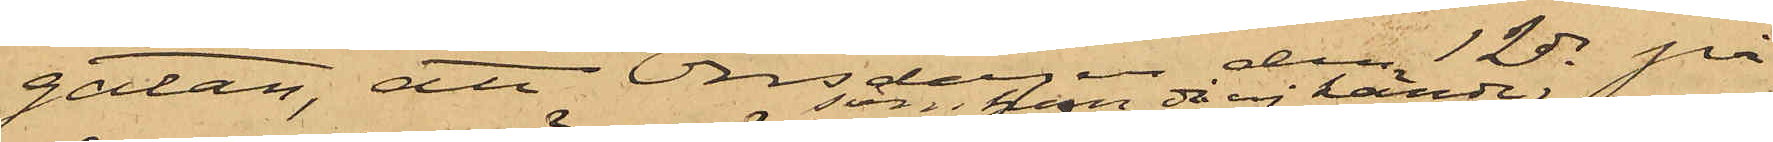gatan, att Onsdagen den 12 ds på
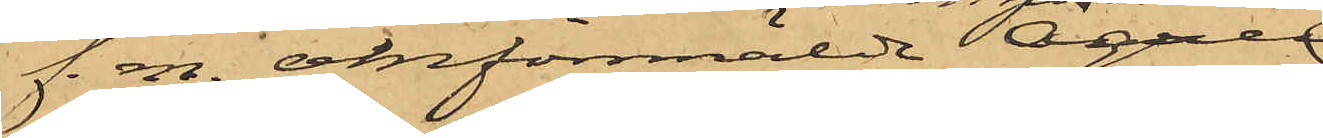f. m. omförmälde Ågren
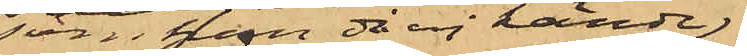som han då ej kände
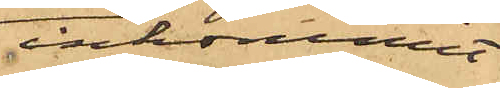inkommit
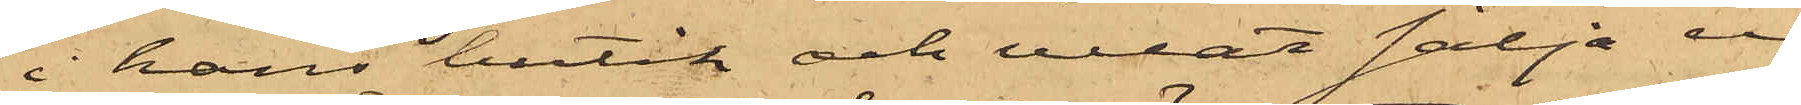i hans butik och velat sälja en
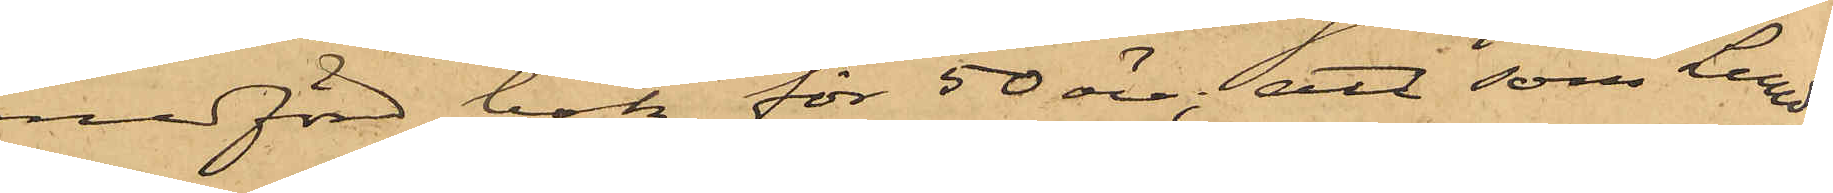medförd bok för 50 öre; att som Lund¬
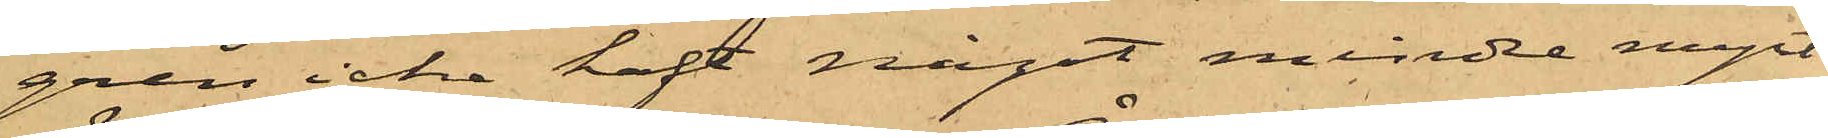gren icke haft något mindre mynt
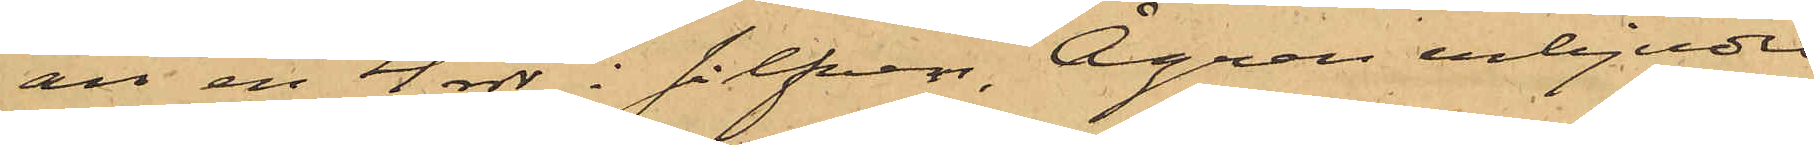än en 4 rdr i silfver, Ågren erbjudit
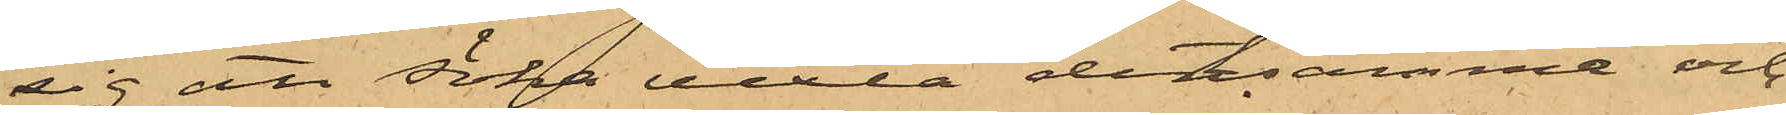sig att söka vexla densamma och
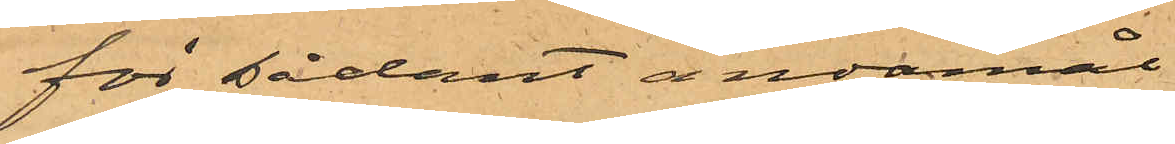för sådant ändamål
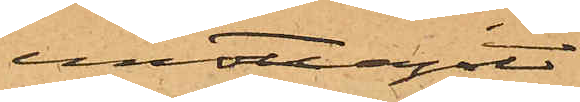emottagit
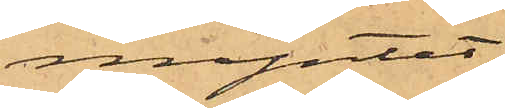myntet;
